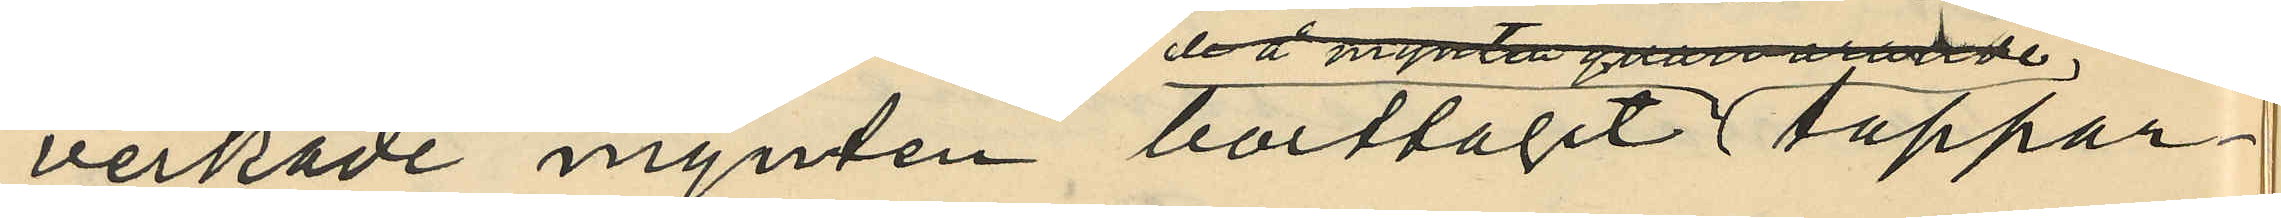verkade mynten borttagit tappar¬
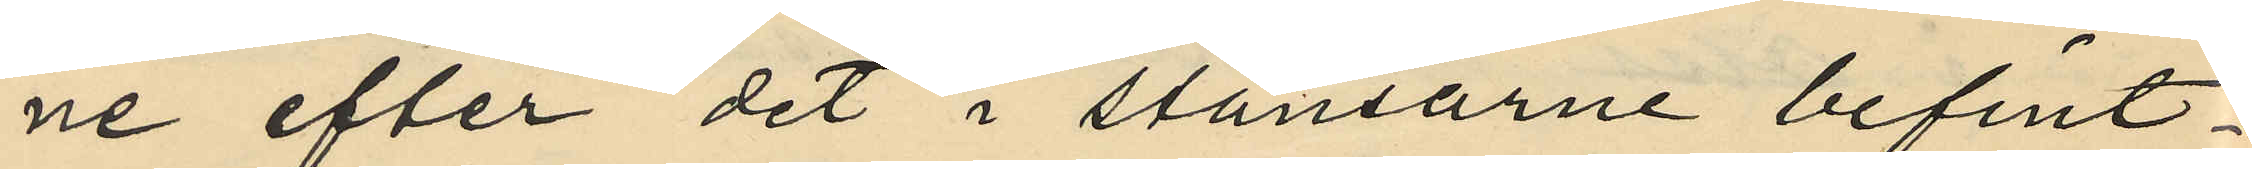ne efter det i stansarne befint¬
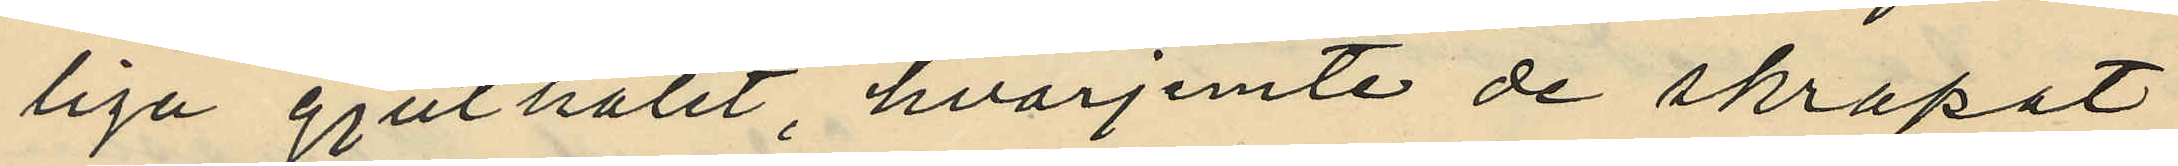liga gjuthålet, hvarjemte de skrapat
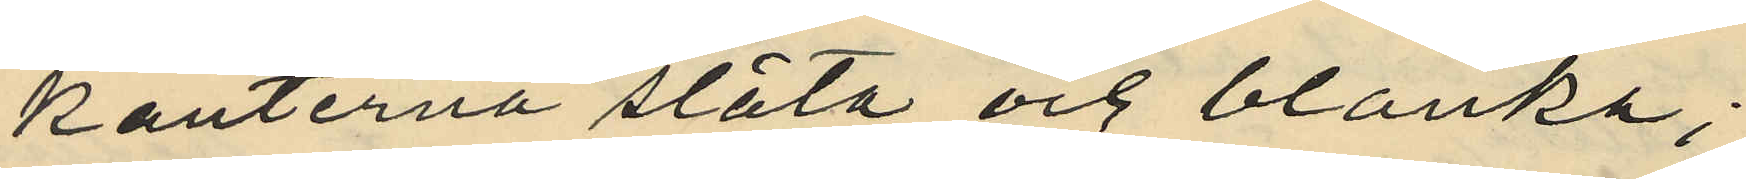kanterna släta och blanka;
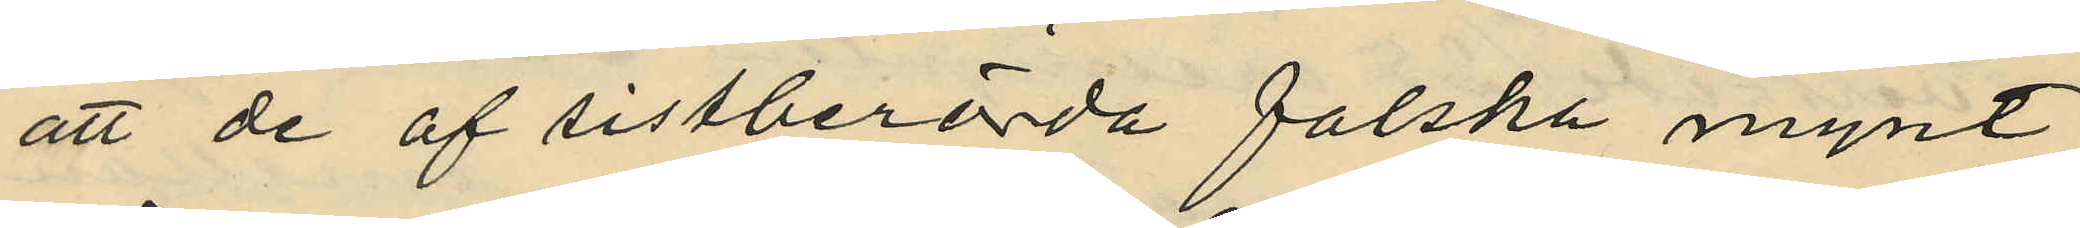att de af sistberörda falska mynt
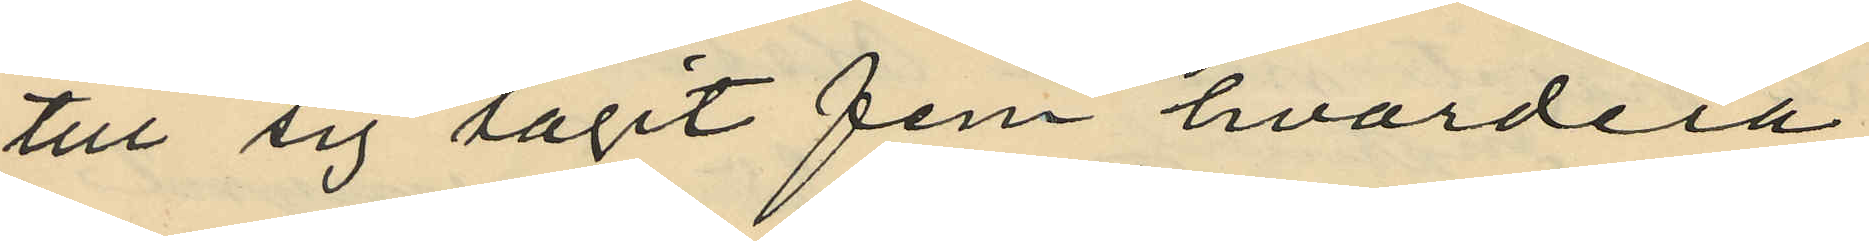till sig tagit fem hvardera;
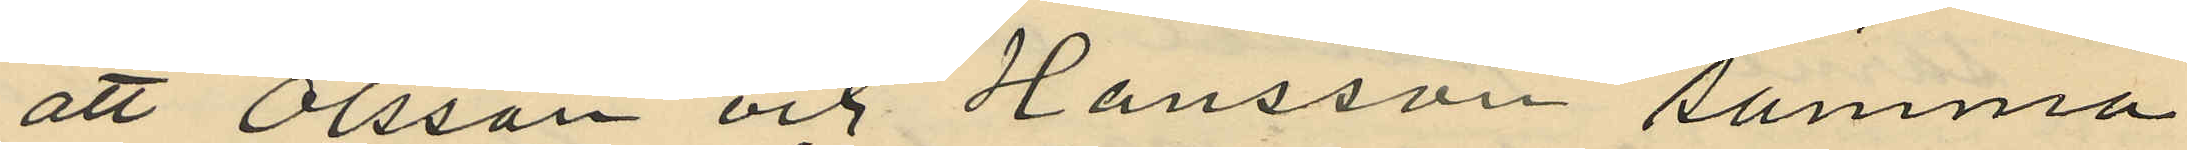att Olsson och Hansson samma
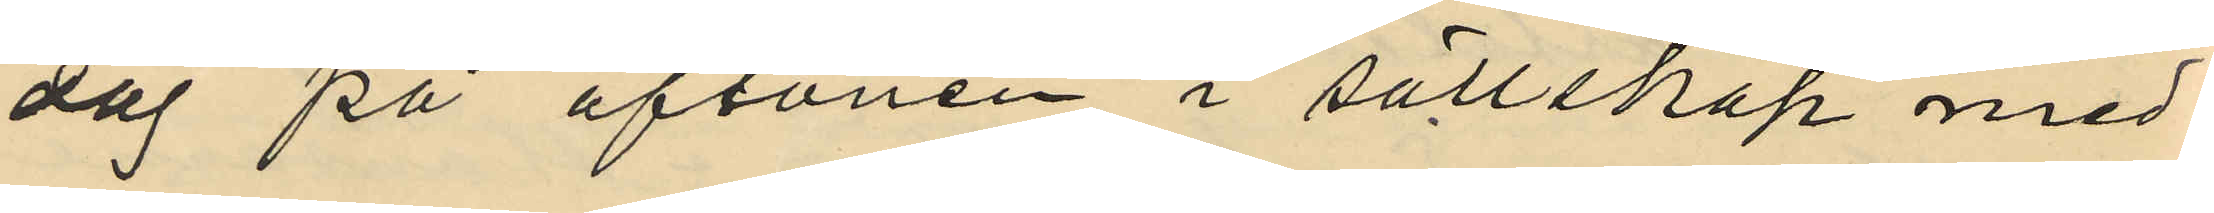dag på aftonen i sällskap med
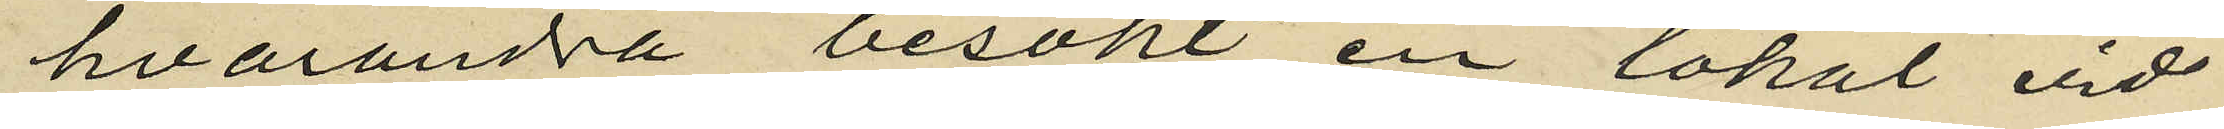hvarandra besökt en lokal vid
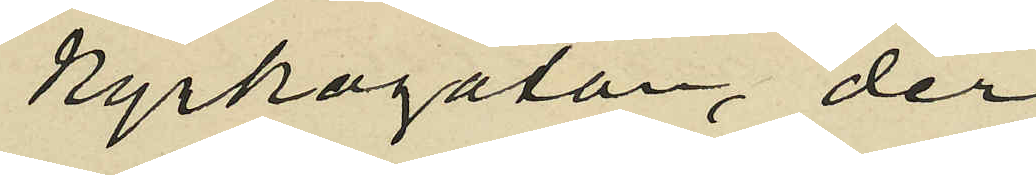Kyrkogatan, der
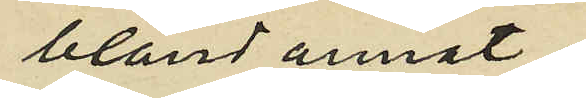bland annat
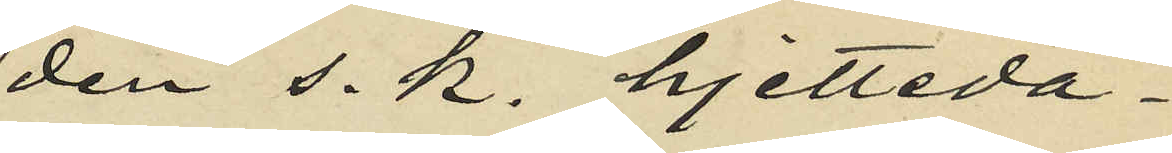den s. k. hjetteda¬
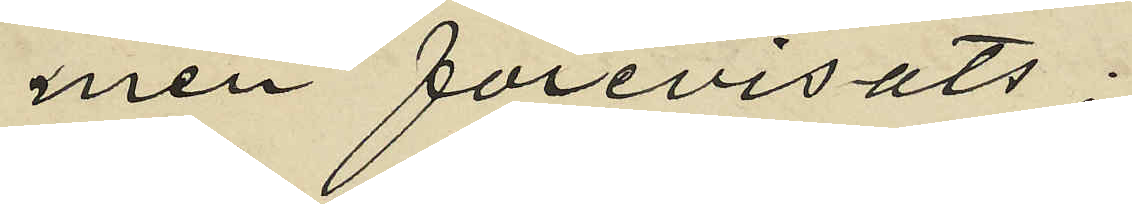men förevisats;
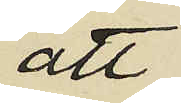att
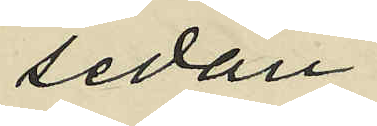sedan
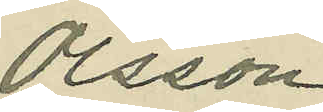Olsson
